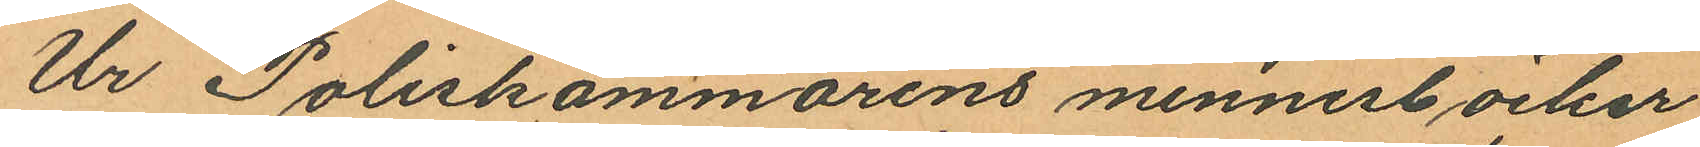Ur Poliskammarens minnesböcker
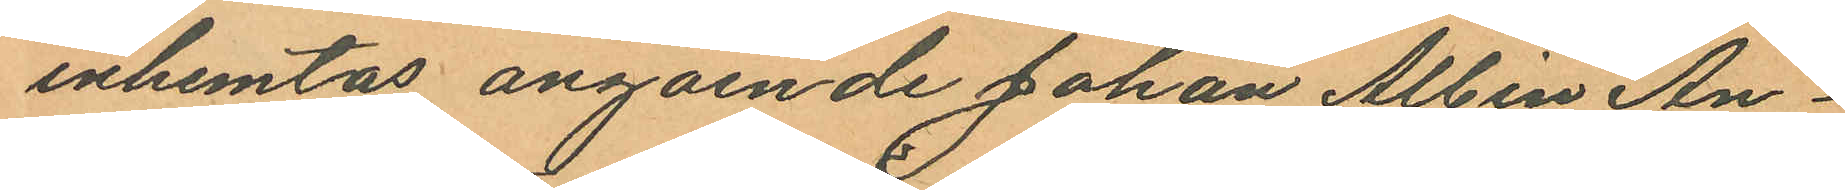inhemtas angående Johan Albin An¬
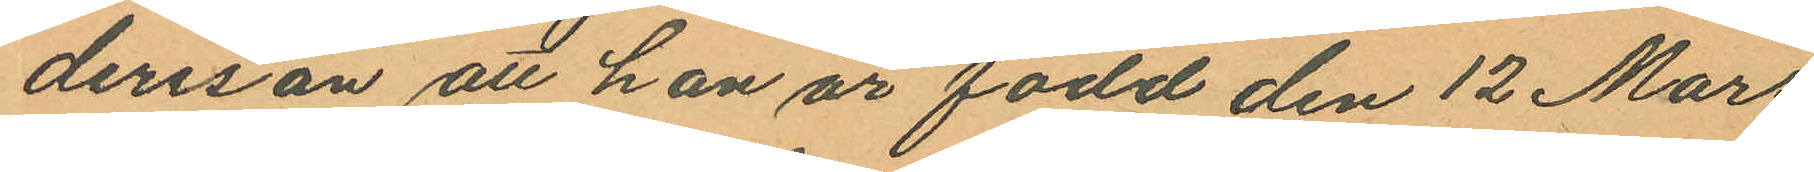dersson att han är född den 12 Mars
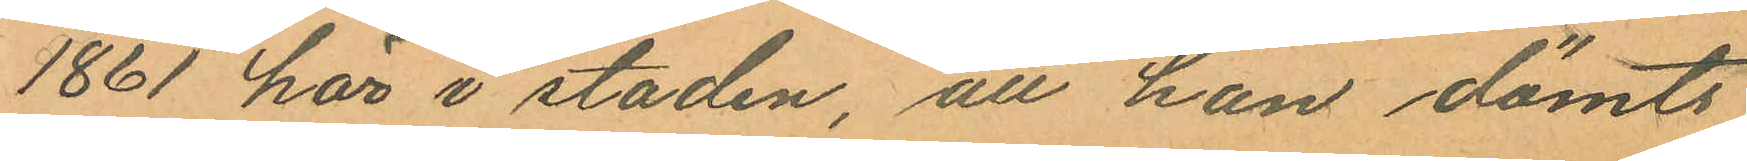1861 här i staden, att han dömts,
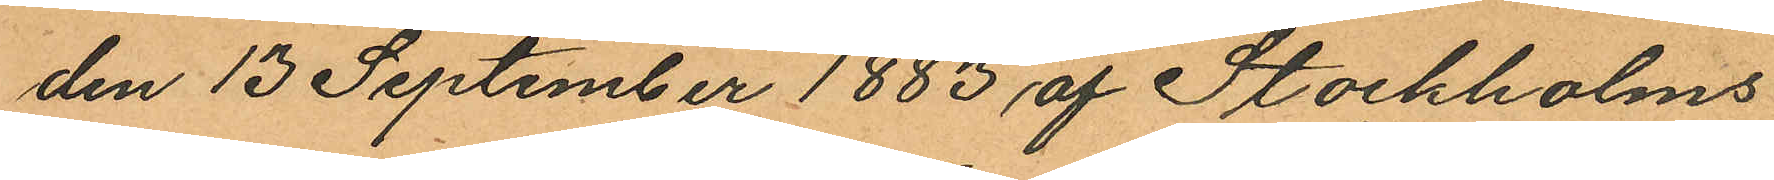den 13 September 1883 af Stockholms
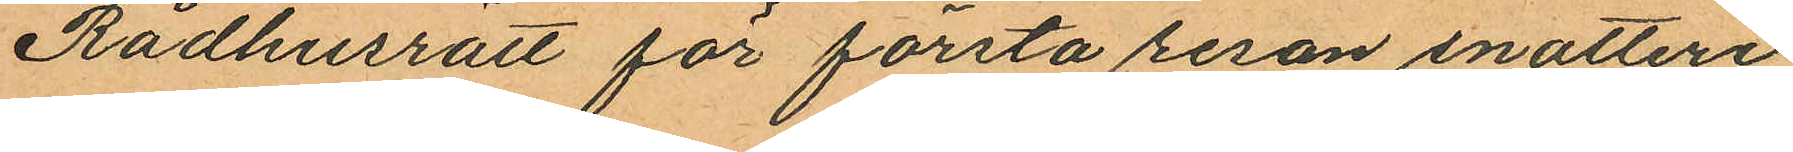Rådhusrätt för första resan snatteri
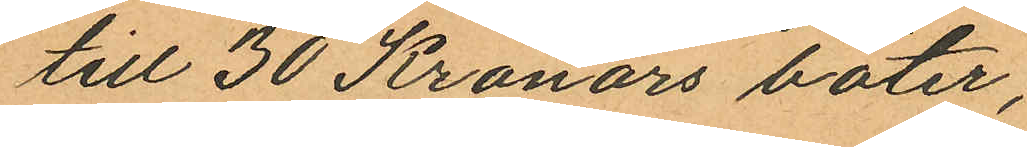till 30 Kronors böter;
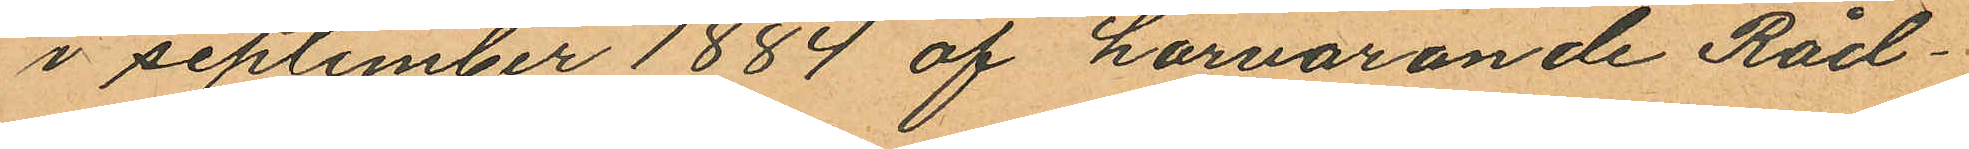i september 1884 af härvarande Råd¬
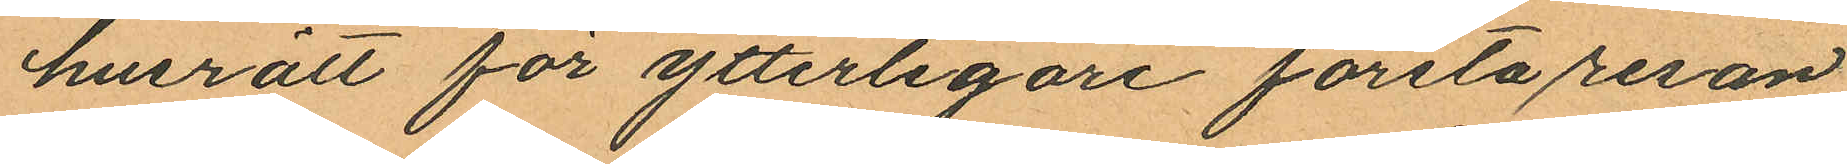husrätt för ytterligare första resan
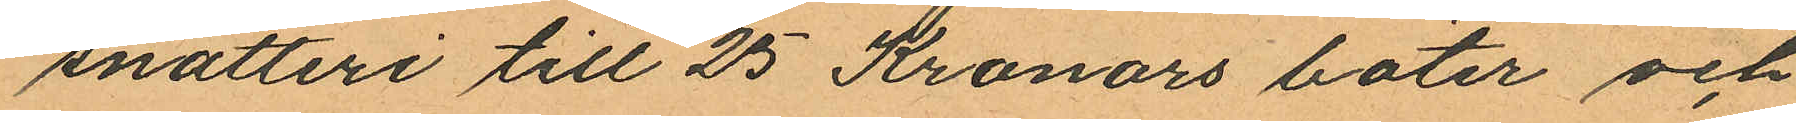snatteri till 25 Kronors böter och
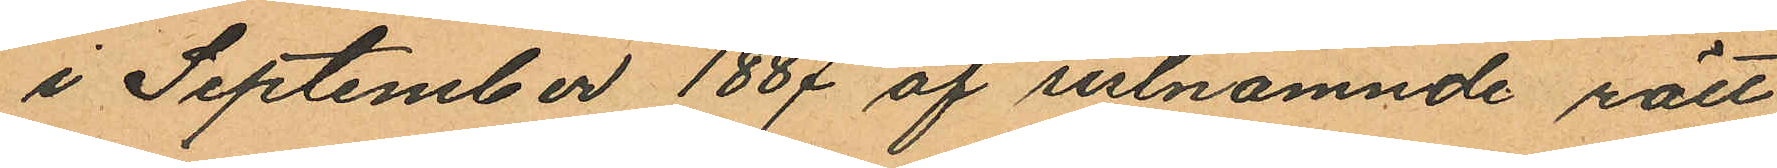i September 1887 af sislnamnde rätt
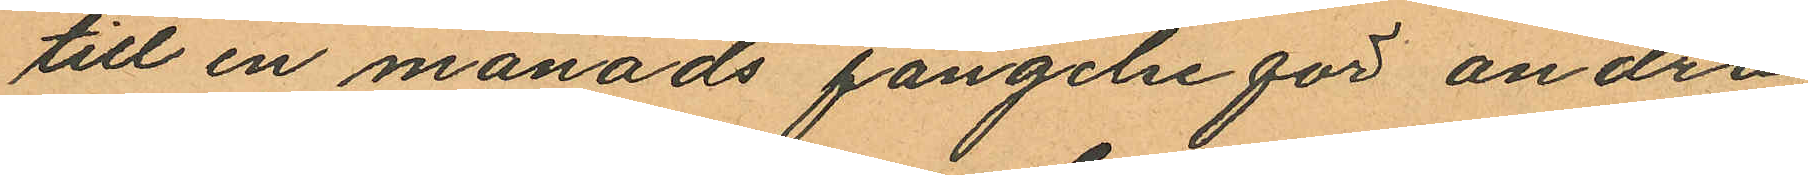till en månads fängelse för andra
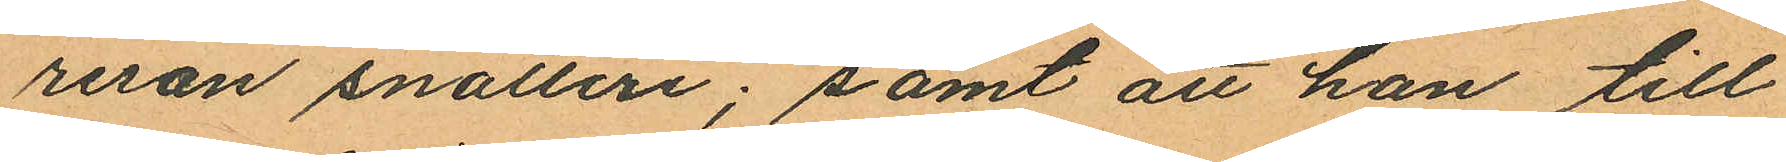resan snatteri; samt att han till¬
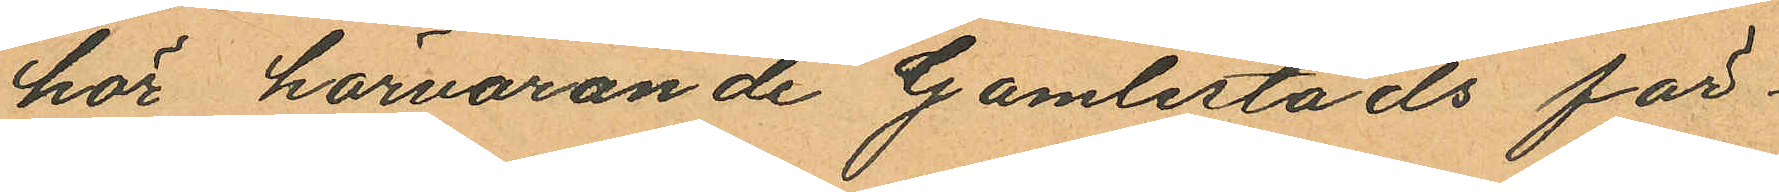hör härvarande Gamlestads för¬
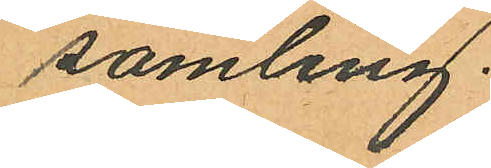samling.
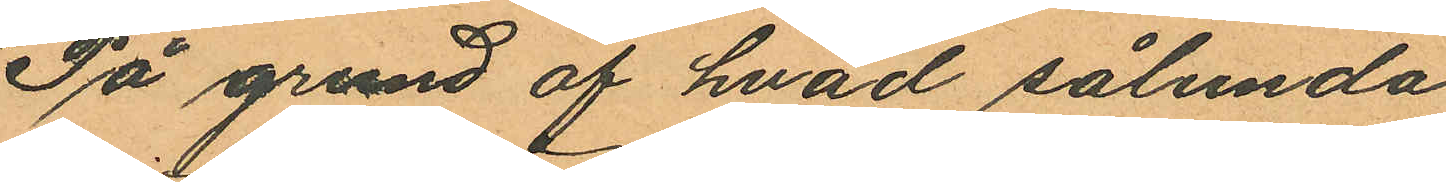På grund af hvad sålunda
